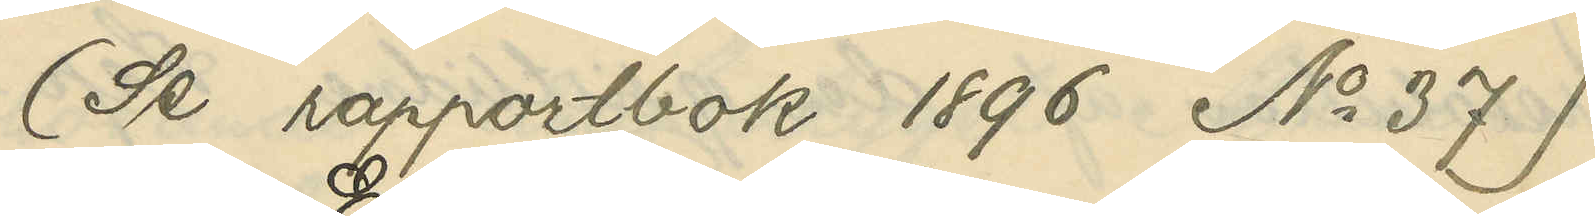(Se rapportbok 1896 No 37)
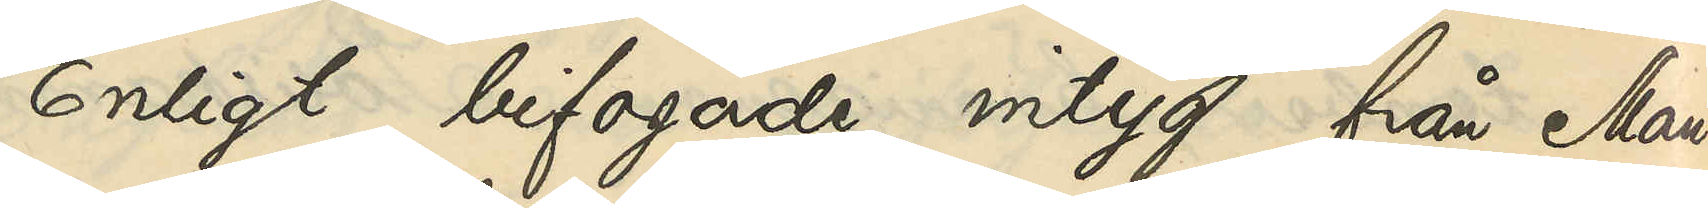Enligt bifogade intyg från Man¬
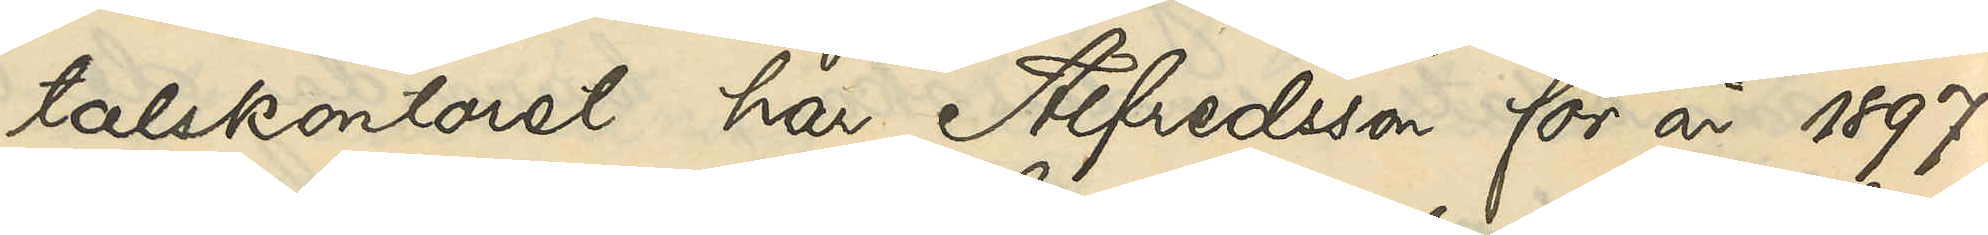talskontoret har Alfredsson för år 1897
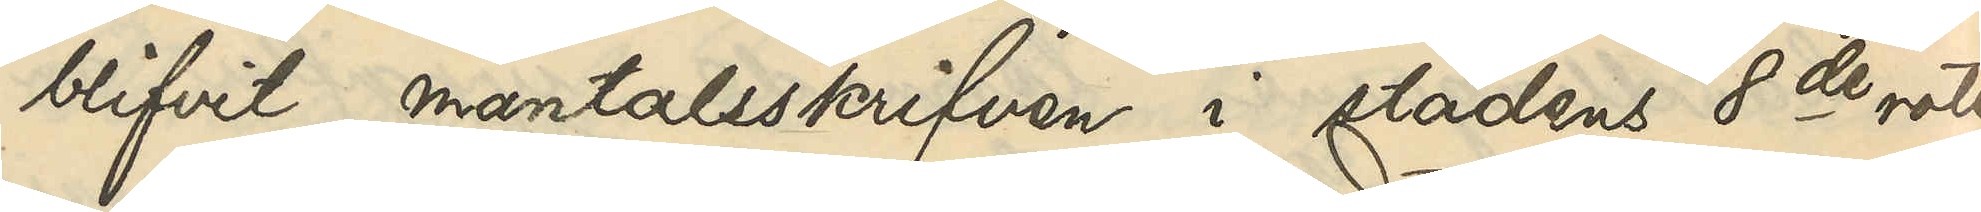blifvit mantalsskrifven i staden 8de rote
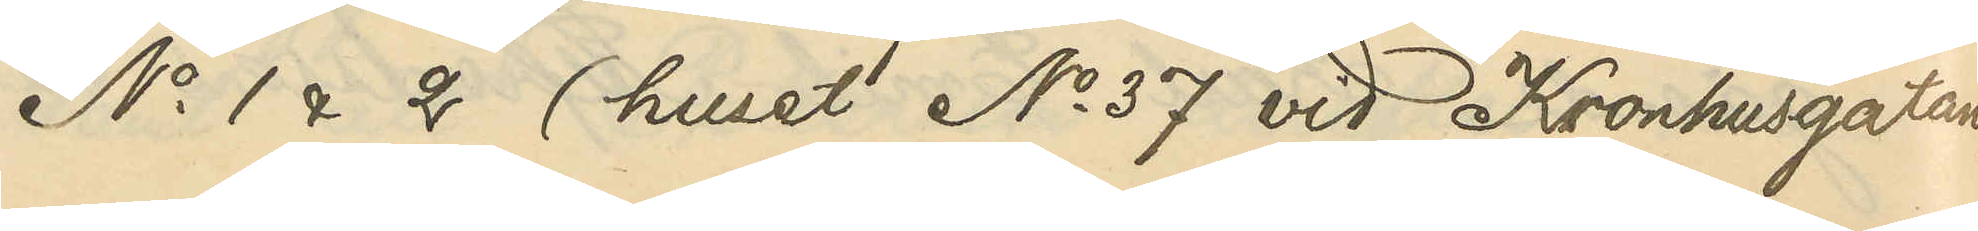No 1 & 2 (huset No 37 vid Kronhusgatan,
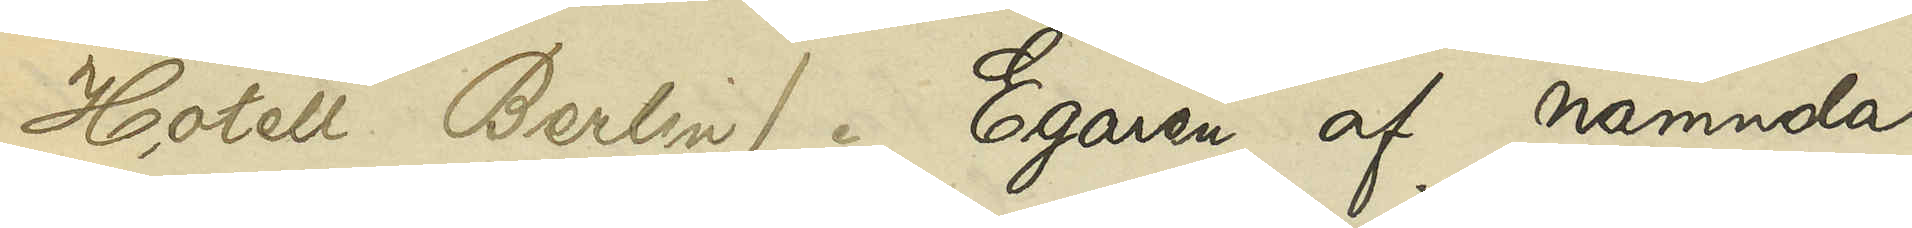Hotell Berlin). Egaren af nämnda
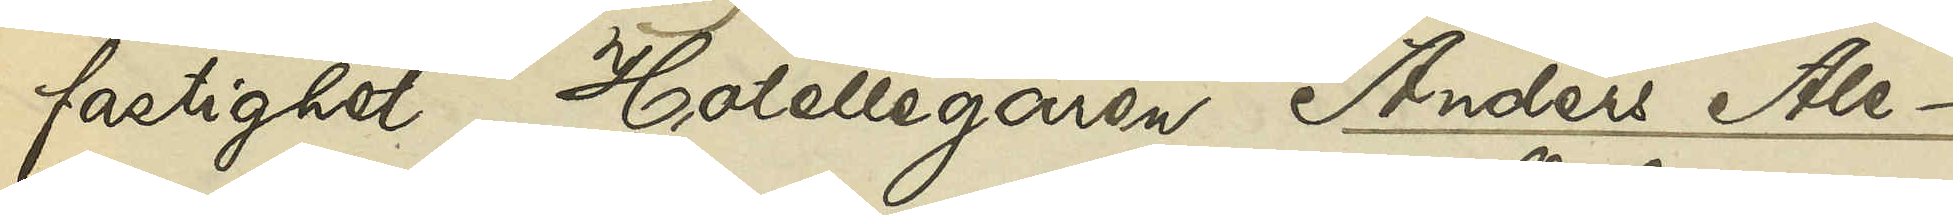fastighet, Hotellegaren Anders Ale¬
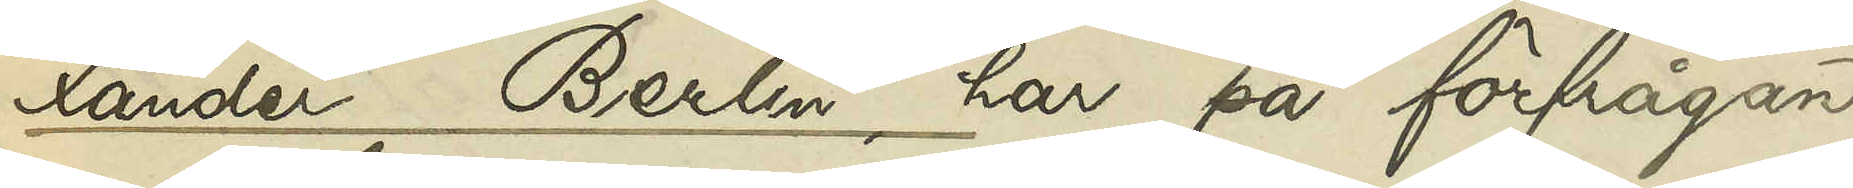xander Berlin, har på förfrågan
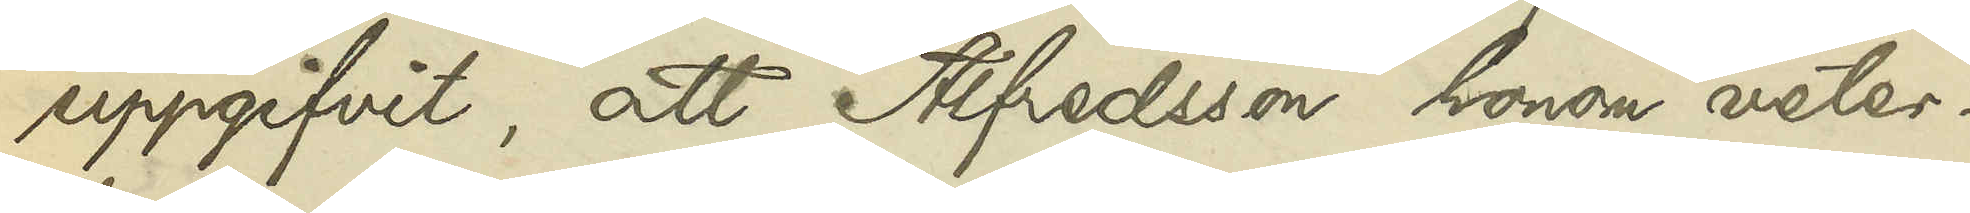uppgifvit, att Alfredsson honom veter¬
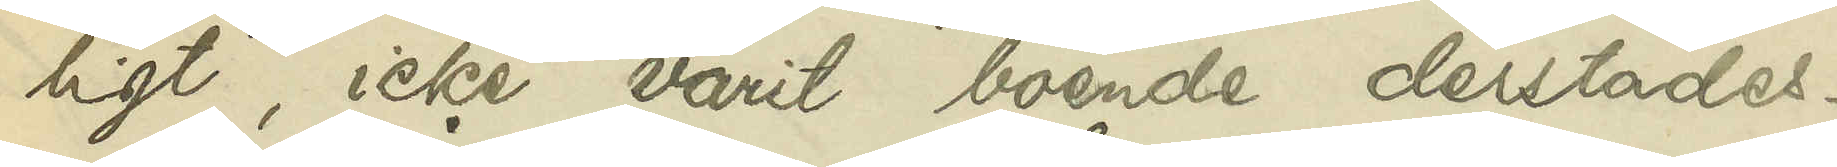ligt, icke varit boende derstädes.
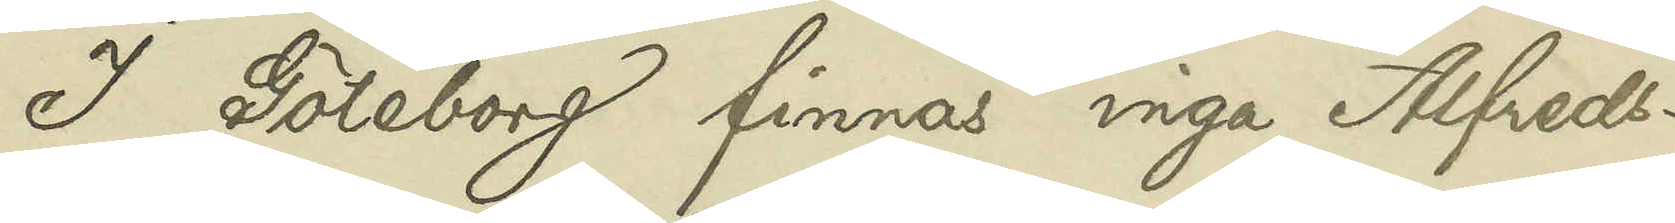I Göteborg finnas inga Alfreds¬
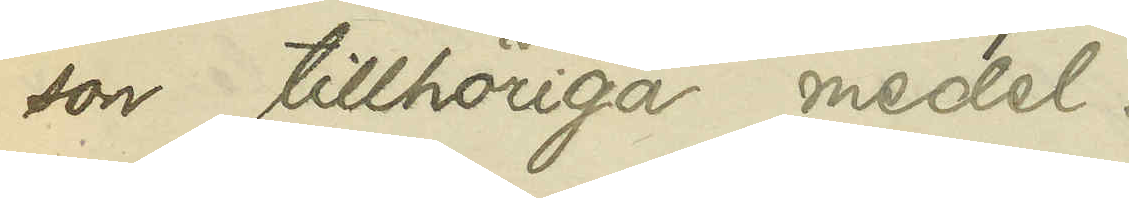son tillhöriga medel.
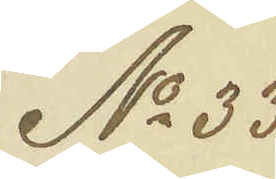No 33
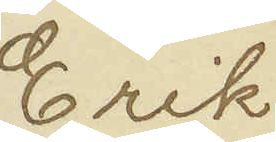Erik
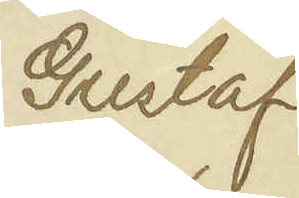Gustaf
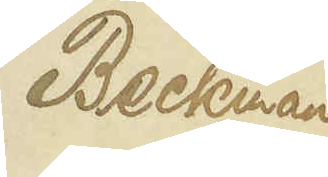Beckman
